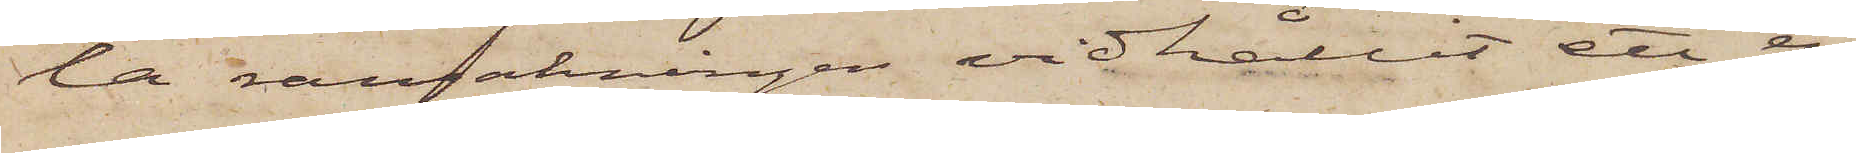la ransakningen vidhållit ett en¬
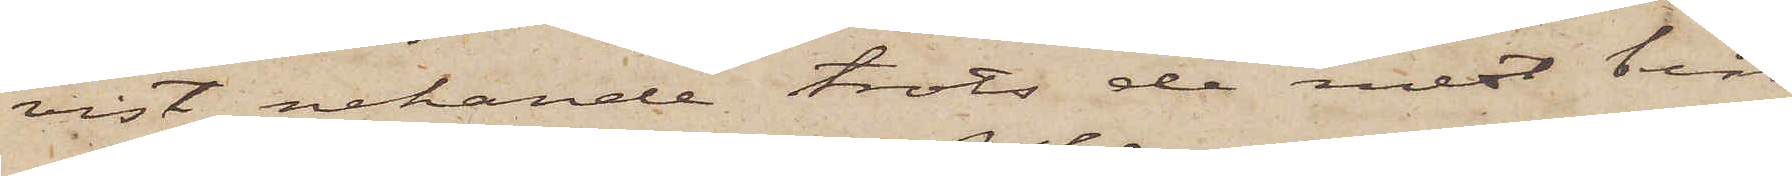vist nekande trots de mest bin¬
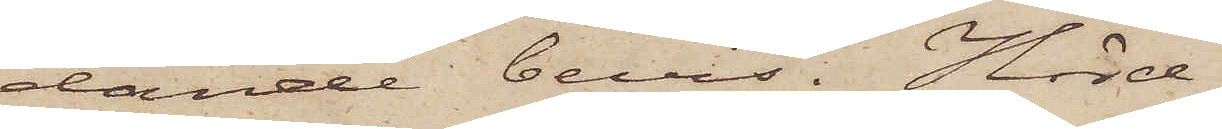dande bevis. Hörd
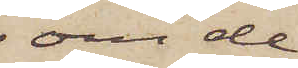om de
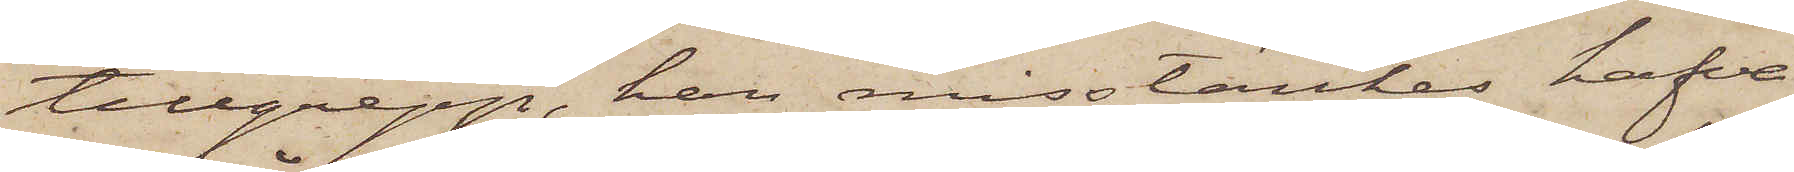tillgrepp, han misstänkes hafva
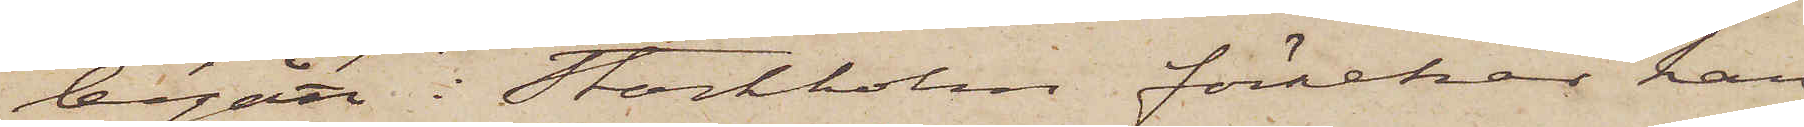begått i Stockholm förnekar han
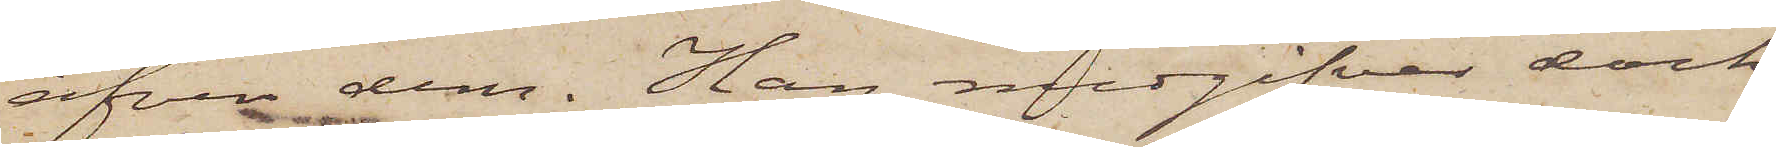äfven dem. Han medgifver dock
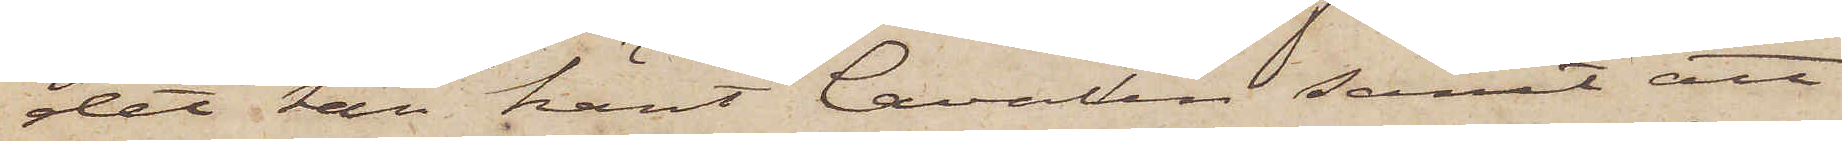det han känt Cavallin samt att
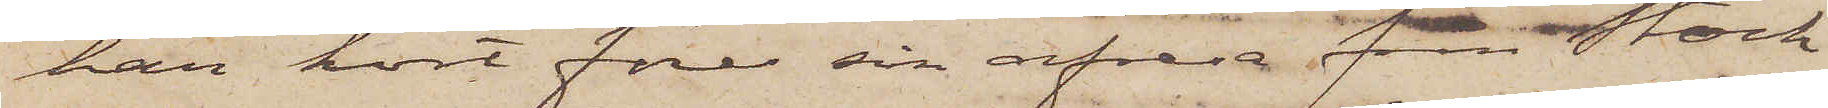han kort före sin afresa från Stock¬
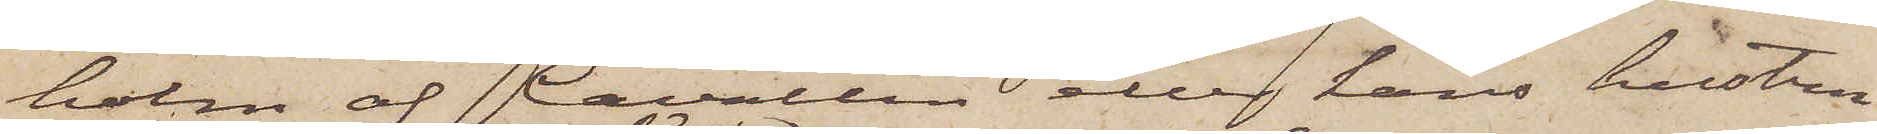holm af Cavallin eller hans hustru
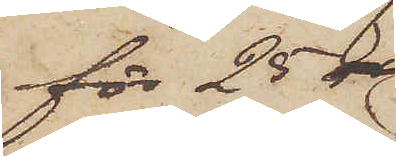för 25 
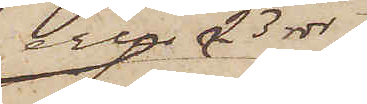eller 23 rdr
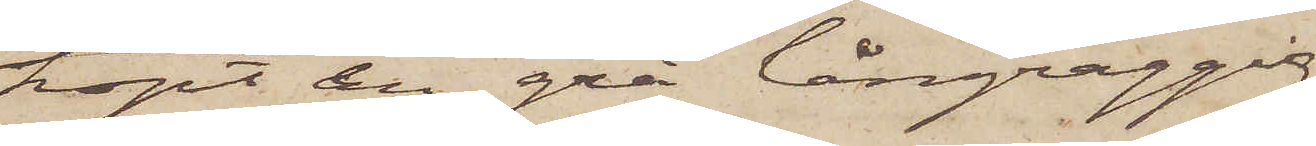köpt en grå långraggig
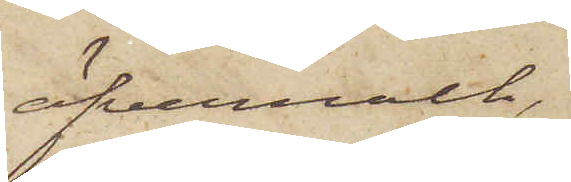öfverrock,
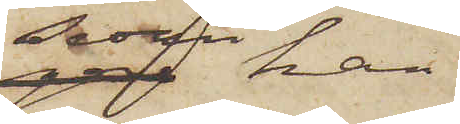sedan han
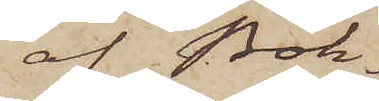af Bok¬
